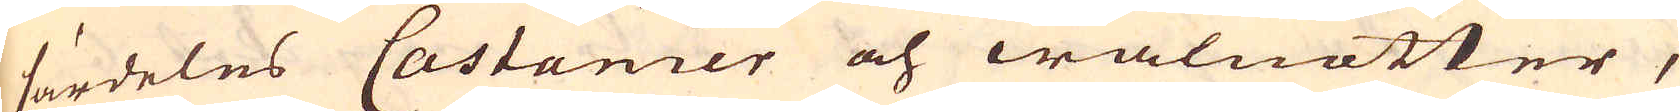särdeles Castanier och walnötter,
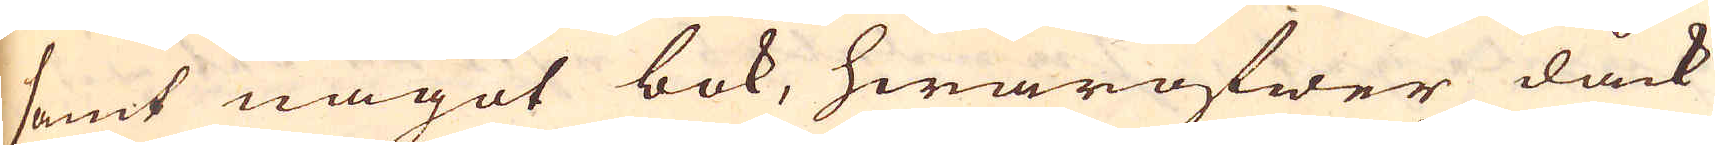samt något bok, hwaröfwer dåck
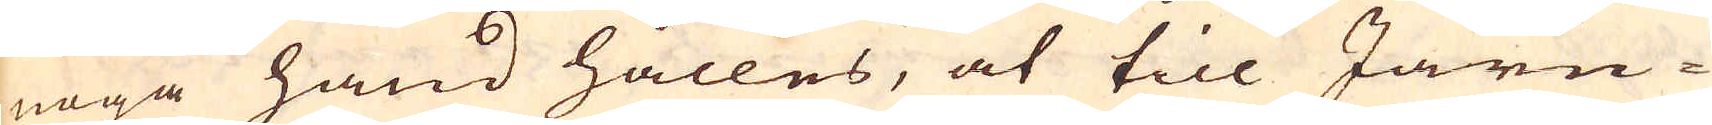noga hand hålles, at till Järn-
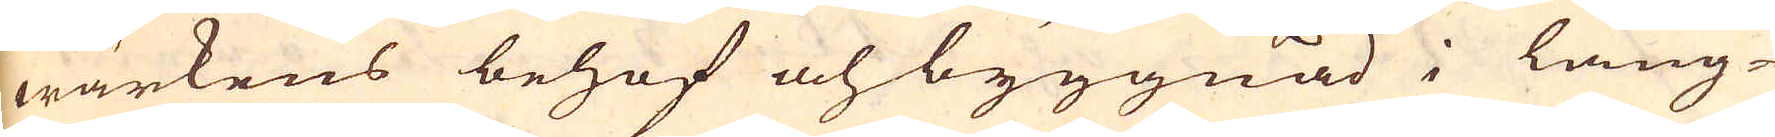wärkens behof och byggnad i läng-
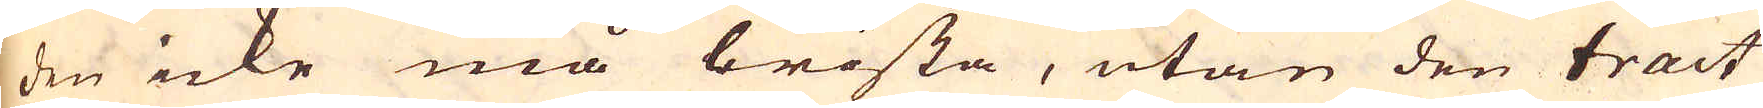den icke må brista, utan den tract
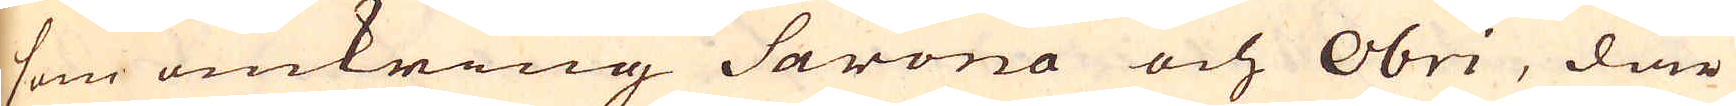som omkring Sarona och Obri, där
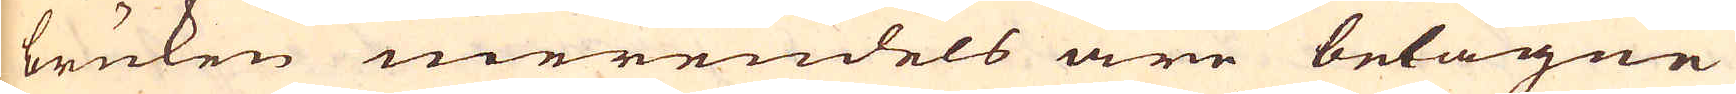bruken merendels äre belägne
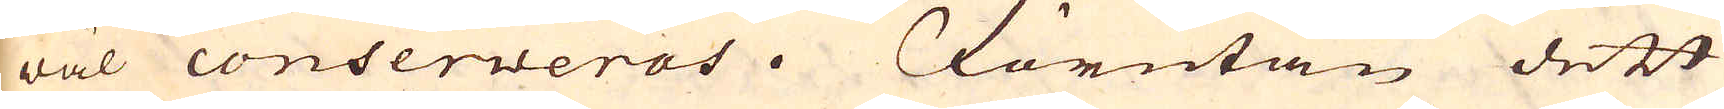wäl conserveras. Förutan dett
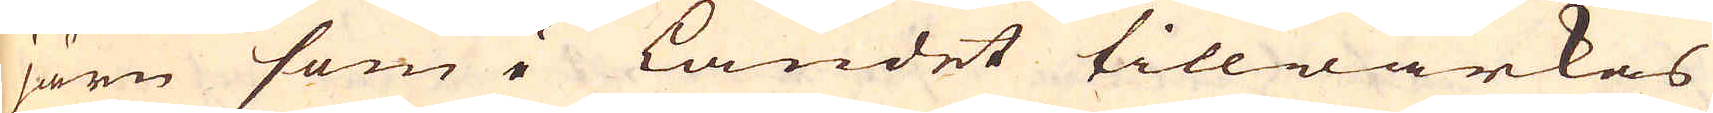järn som i Landet tillwärkas
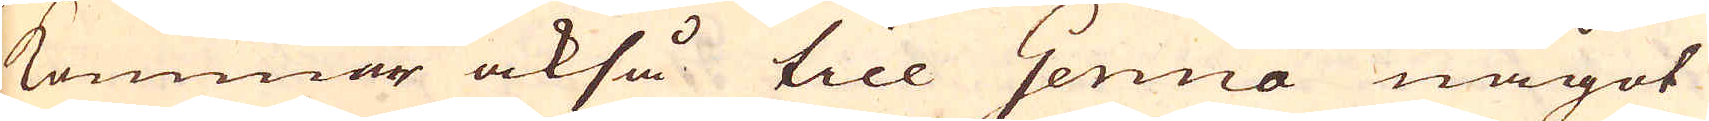kommar också till Genua något
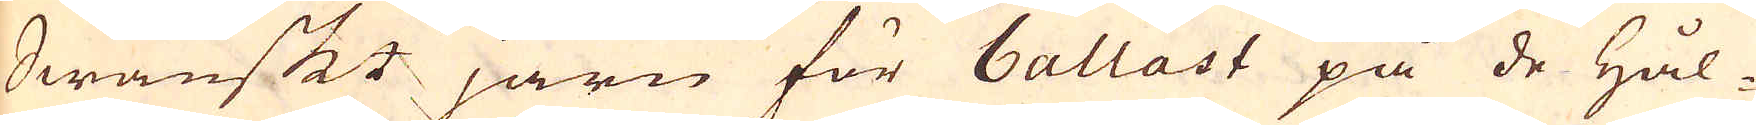Swänskt järn för ballast på de Hål-
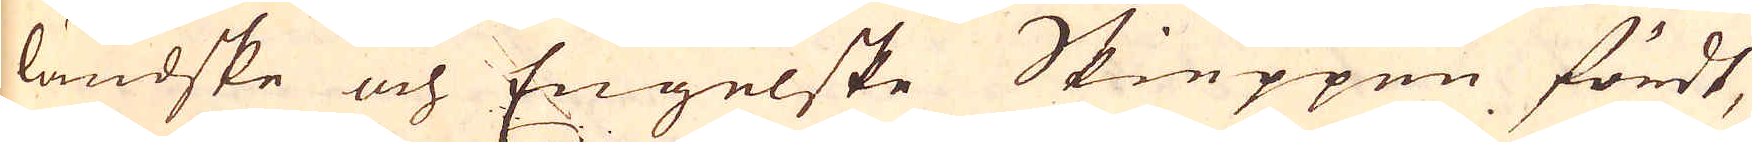ländske och Engelske Skieppen fördt,
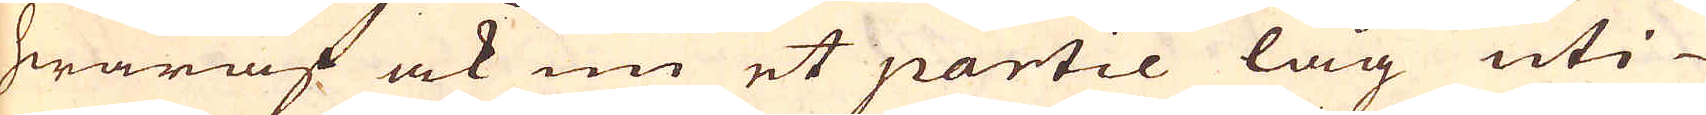hwaraf ock nu et partie låg uti
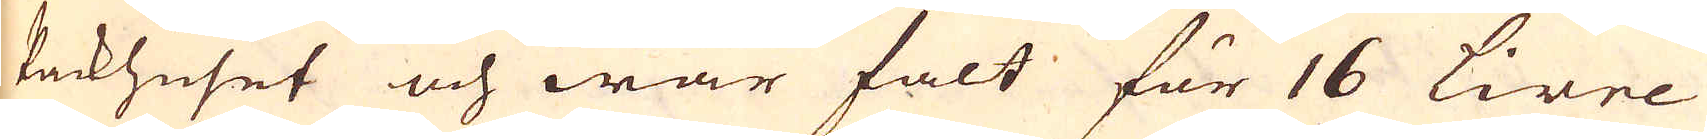Packhuset och war falt för 16 Livre
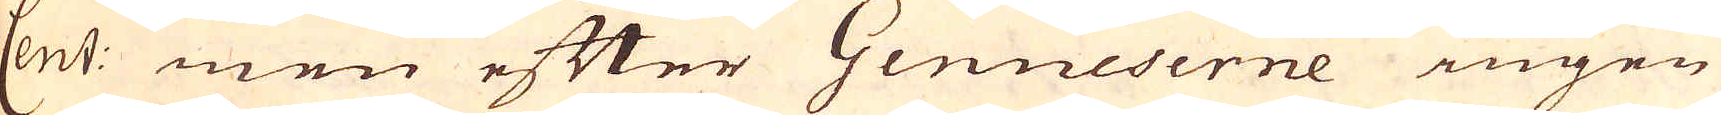Cent: men efter Genueserne ingen
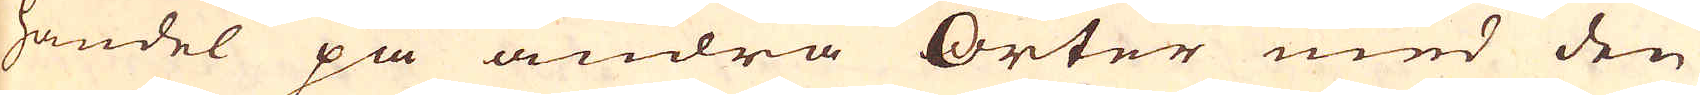handel på andra Orter med den
